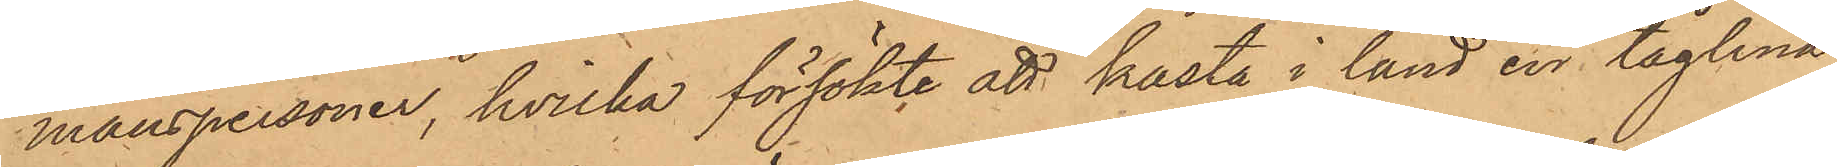manspersoner, hvilka försökte att kasta i land en tåglina
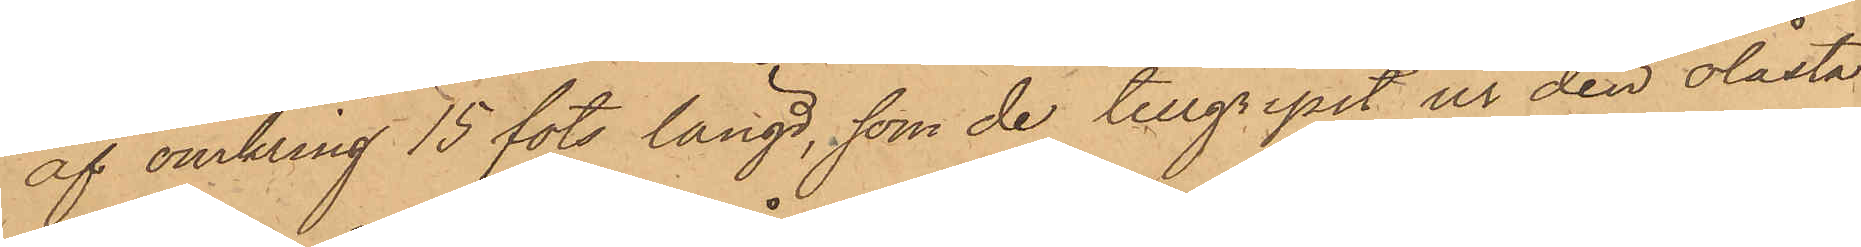af omkring 15 fots längd, som de tillgripit ur den olåsta
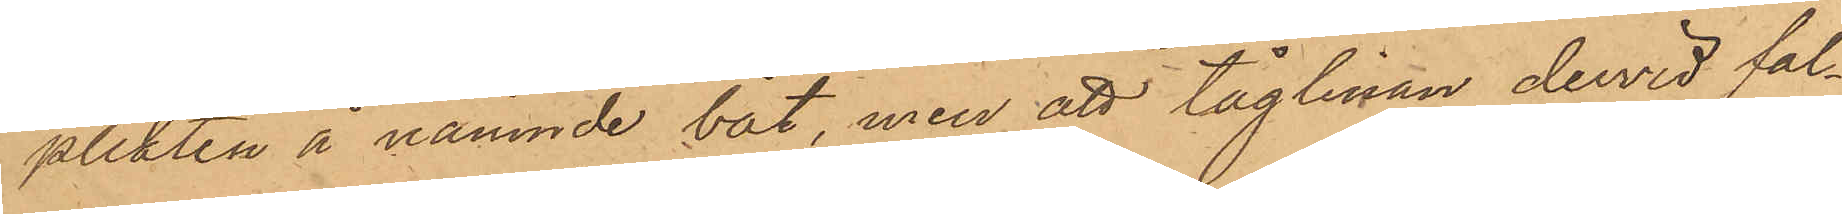plikten å nämnde båt, men att tåglinan dervid fal¬
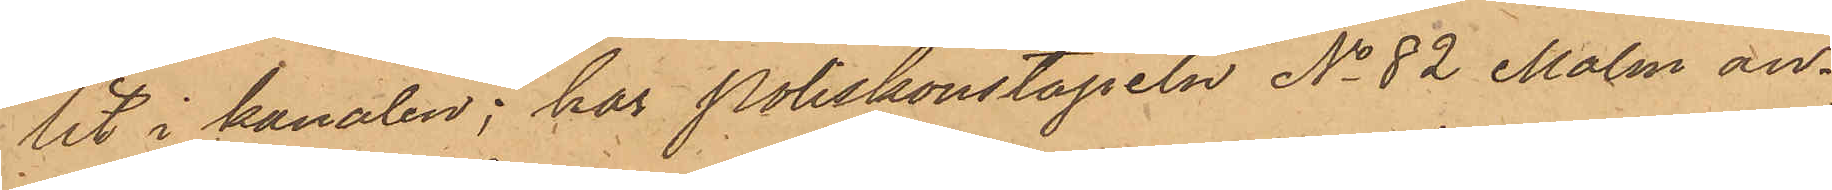lit i kanalen; har Poliskonstapeln No 82 Malm an¬
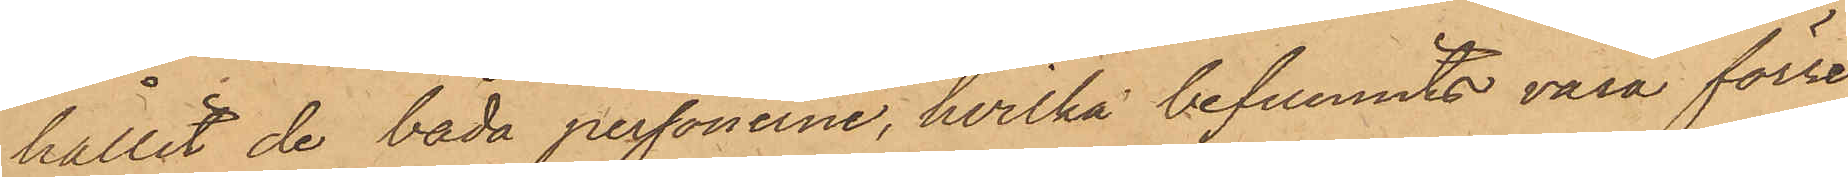hållit de båda personerne, hvilka befunnits vara förre
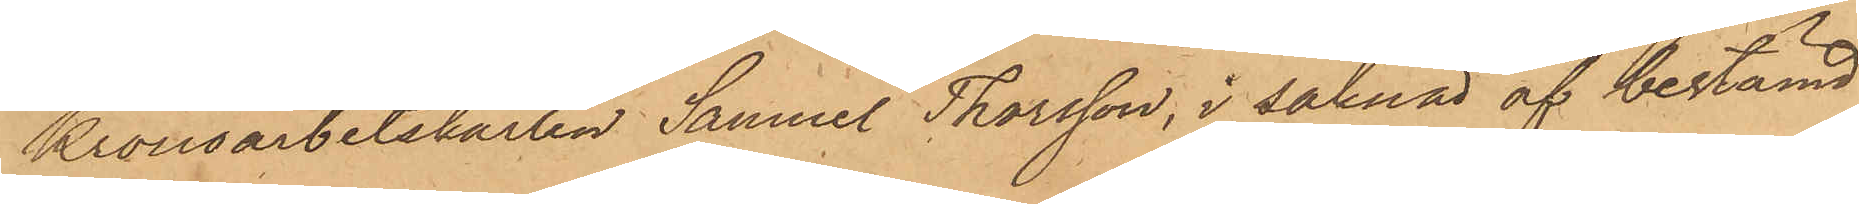Kronoarbetskarlen Samuel Thorsson, i saknad af bestämd
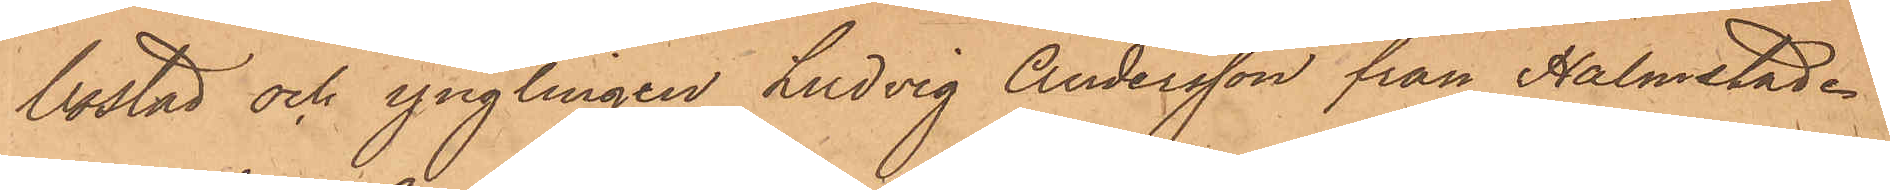bostad och ynglingen Ludvig Andersson från Halmstad.
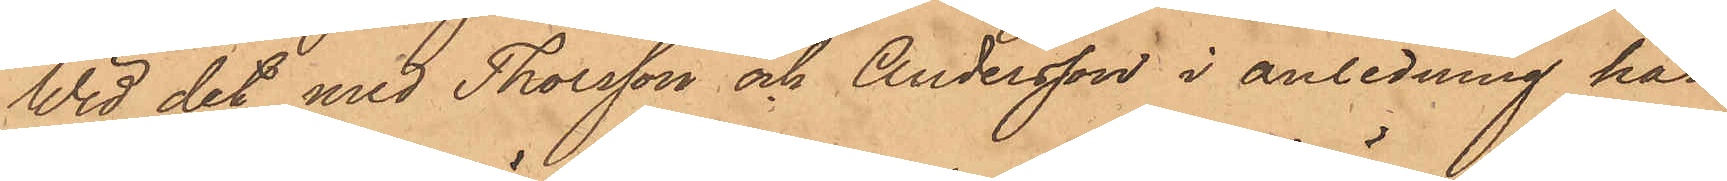Wid det med Thorsson och Andersson i anledning här¬
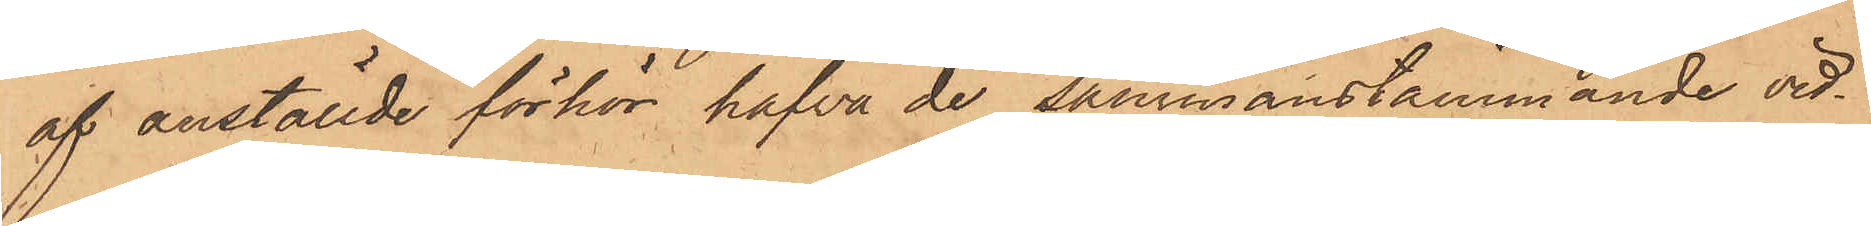af anställde förhör hafva de sammanstämmande vid¬
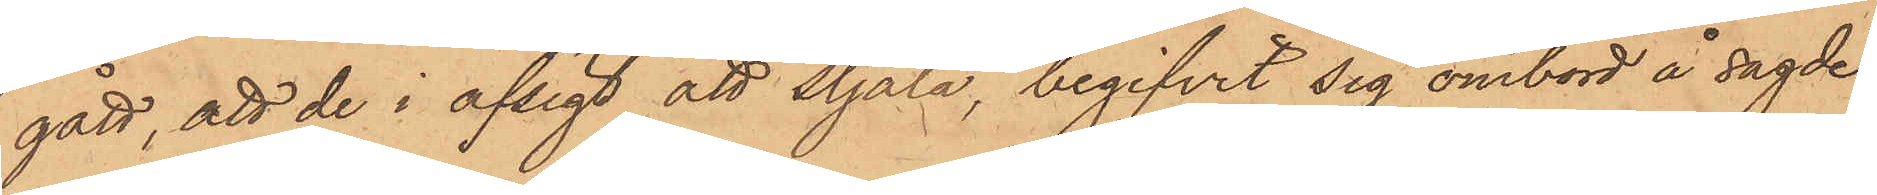gått, att de i afsigt att stjäla, begifvit sig ombord å sagde
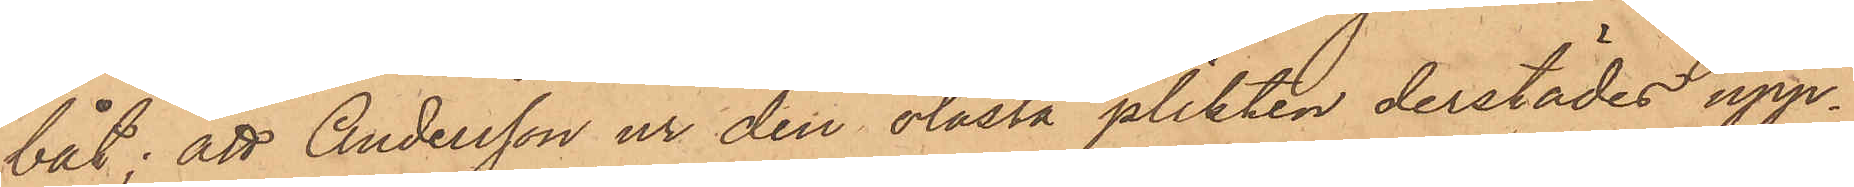båt; att Andersson ur den olåsta plikten derstädes upp¬
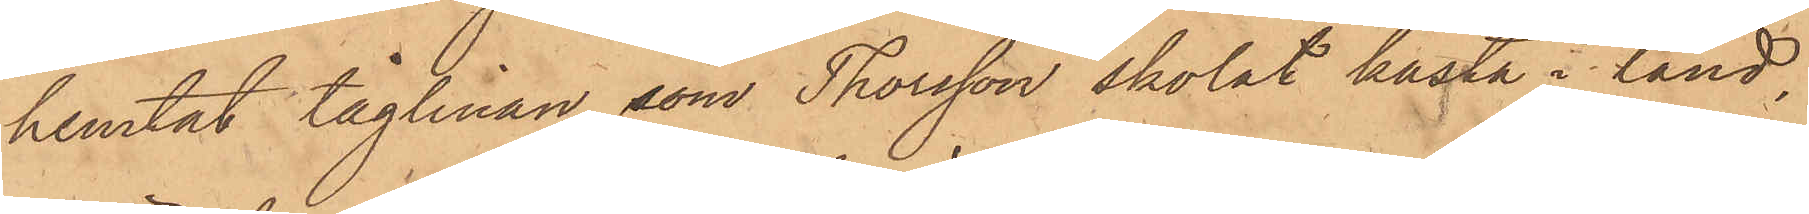hemtat tåglinan, som Thorsson skolat kasta i land,
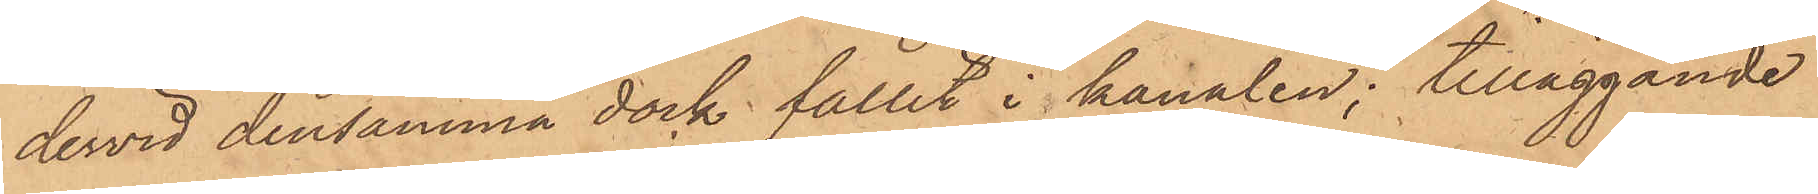dervid densamma dock fallit i kanalen; tilläggande
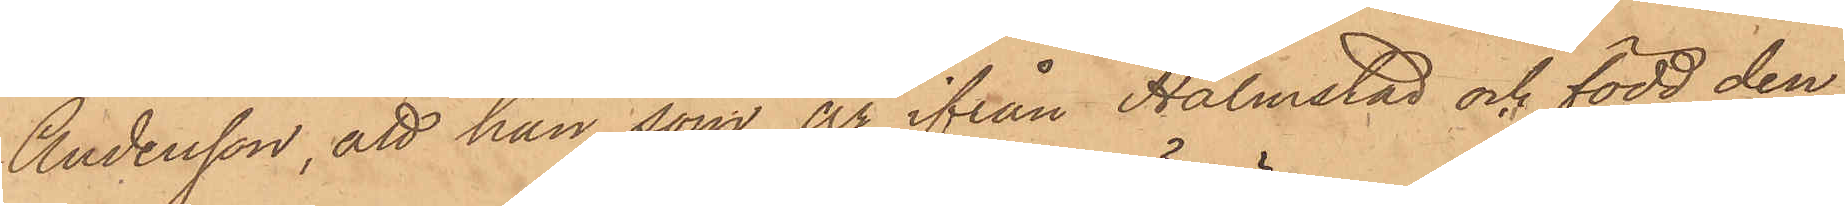Andersson, att han som är ifrån Halmstad och född den
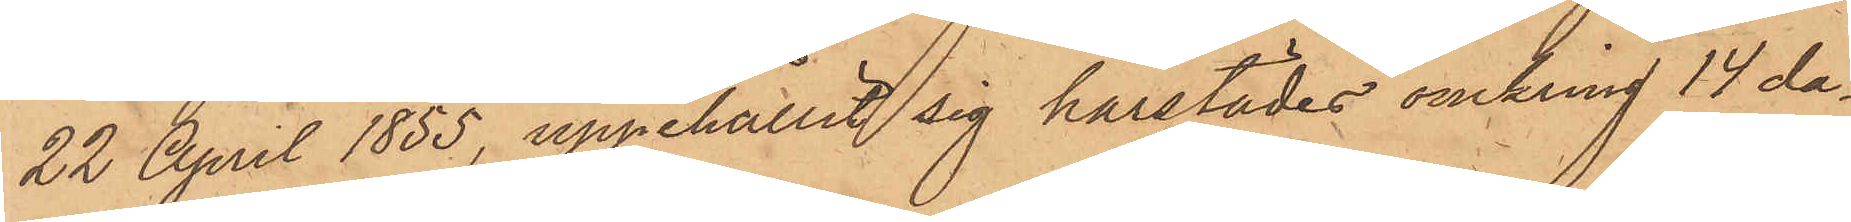22 April 1855, uppehållit sig härstädes omkring 14 da¬
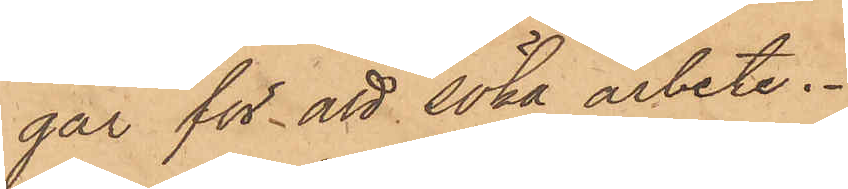gar för att söka arbete.
